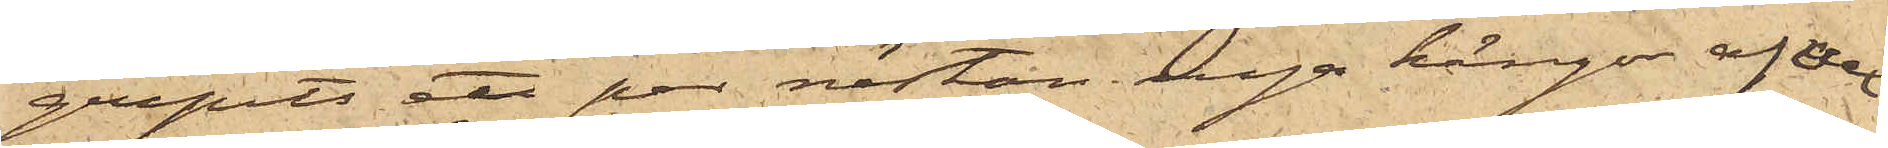gripits ett par nästan nya kängor af 
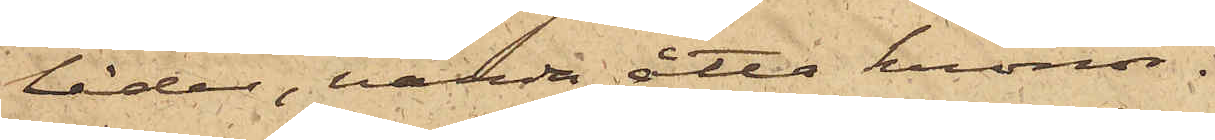läder, värda åtta kronor.
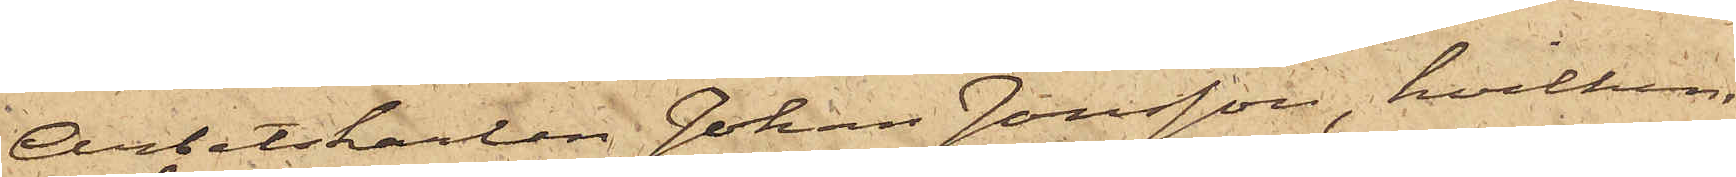Arbetskarlen Johan Jansson, hvilken
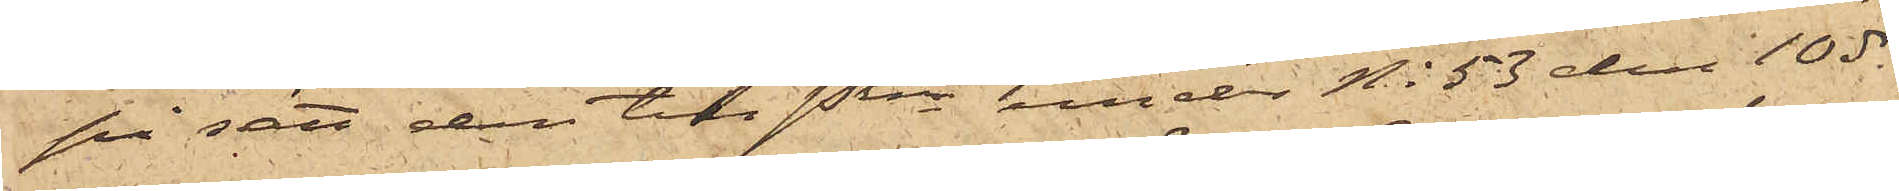på sätt den till Pkn under No 53 den 10 ds
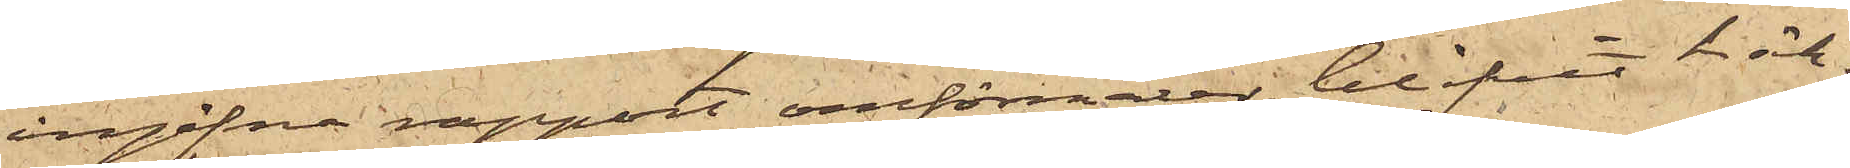ingifna rapport omförmäler, blifvit häk¬
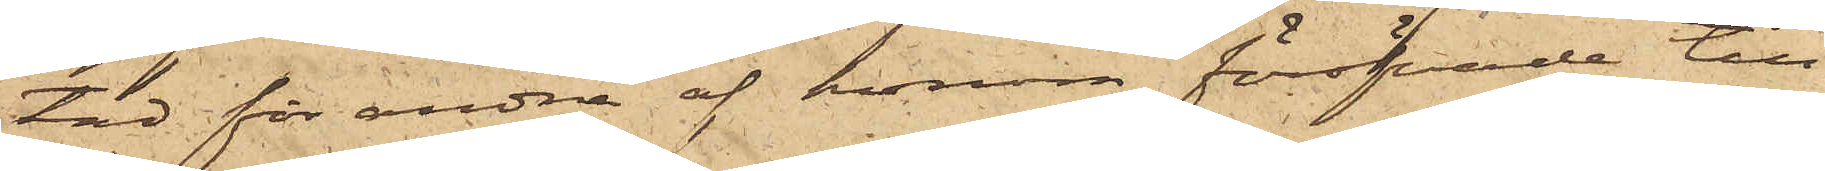tad för andra af honom föröfvade till¬
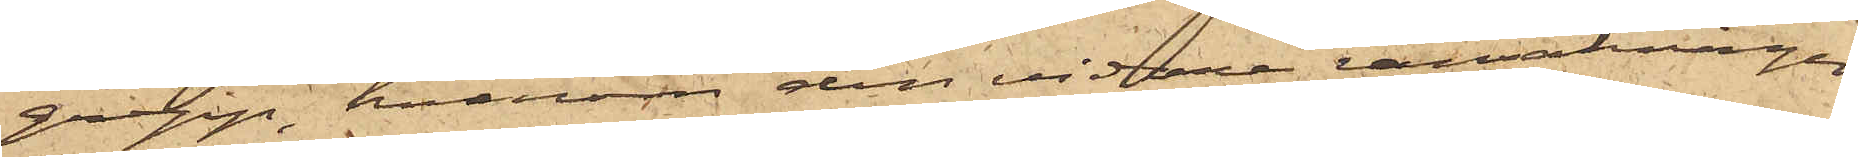grepp, hvarom den vidare ransakningen
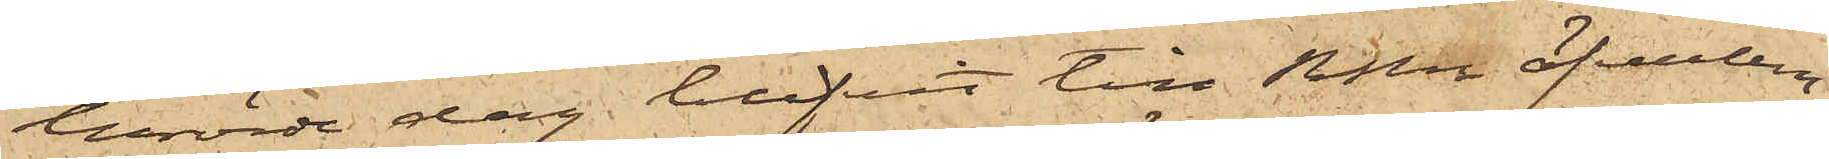berörde dag blifvit till RRn öfverlem¬
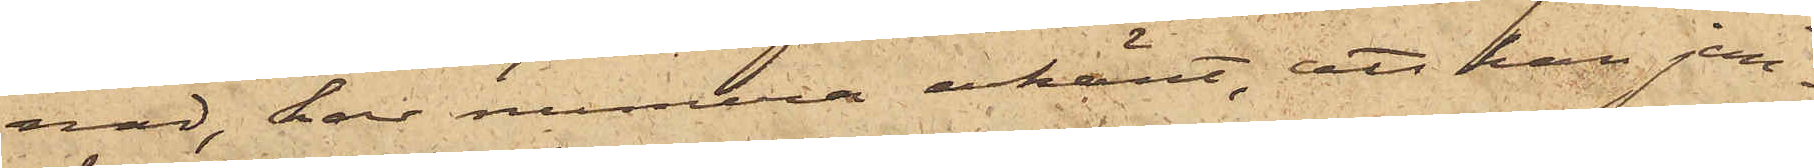nad, har numera erkänt, att han jem¬
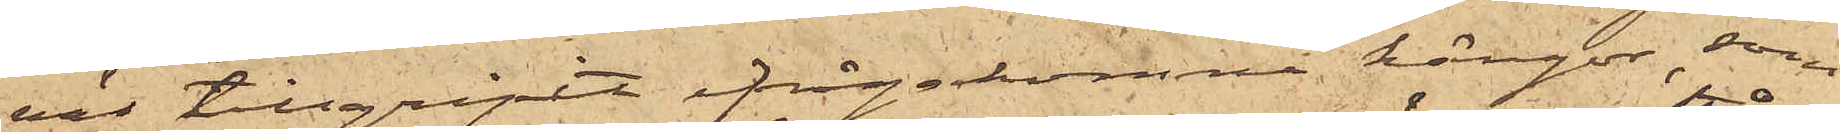väl tillgripit ifrågakomne kängor, som
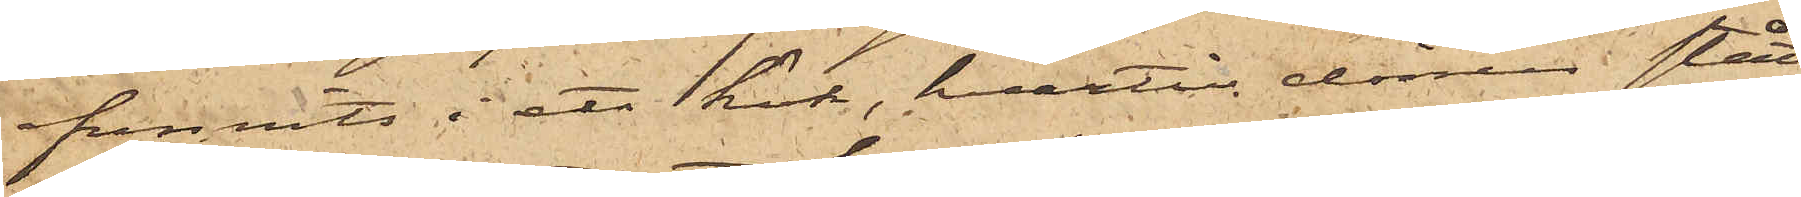funnits i ett kök, hvartill dörren stått
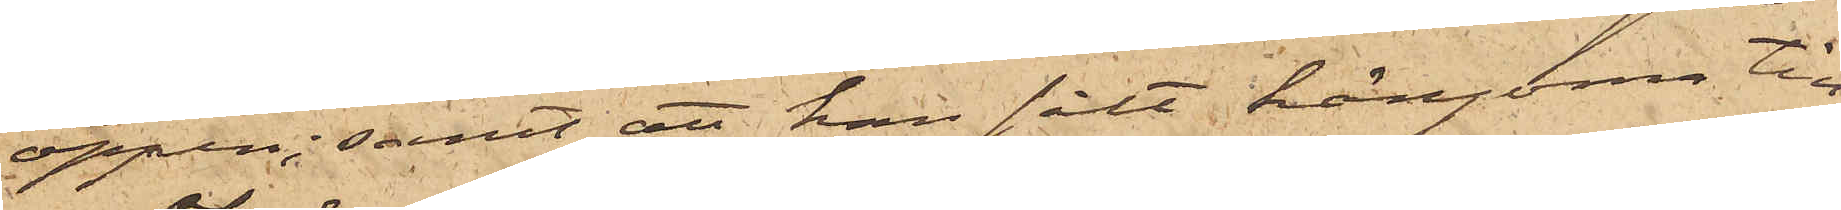öppen; samt att han sålt kängorne till
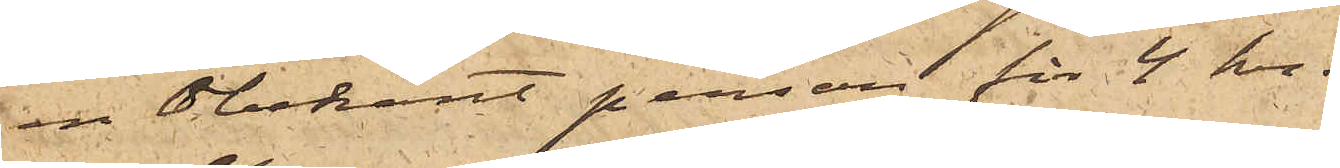en obekant person för 4 kr.
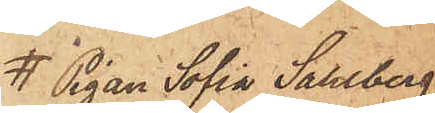Pigan Sofia Sahlberg,
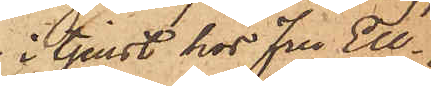i tjenst hos Fru Elg¬
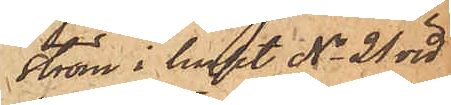ström i huset No 21 vid
